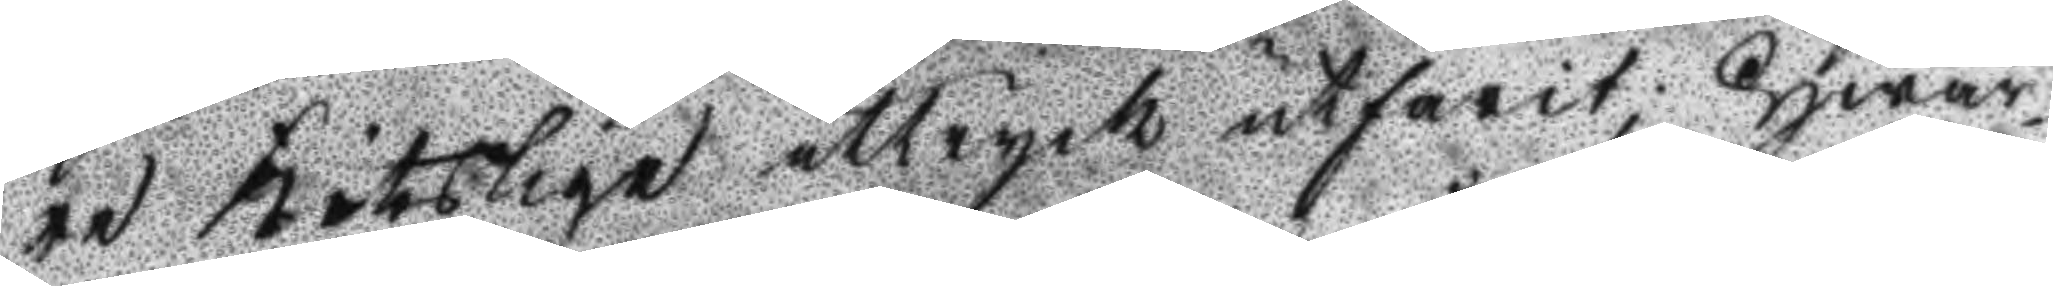re Kötslige uttryck utfarit; Hwar¬
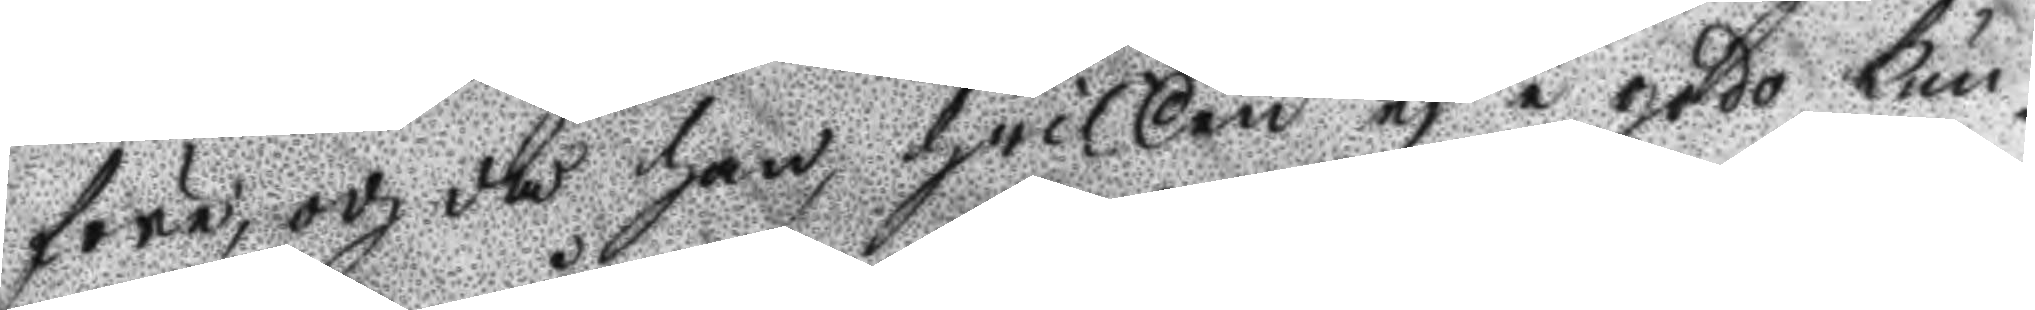före, och då han, hwilken ej i godo kun¬
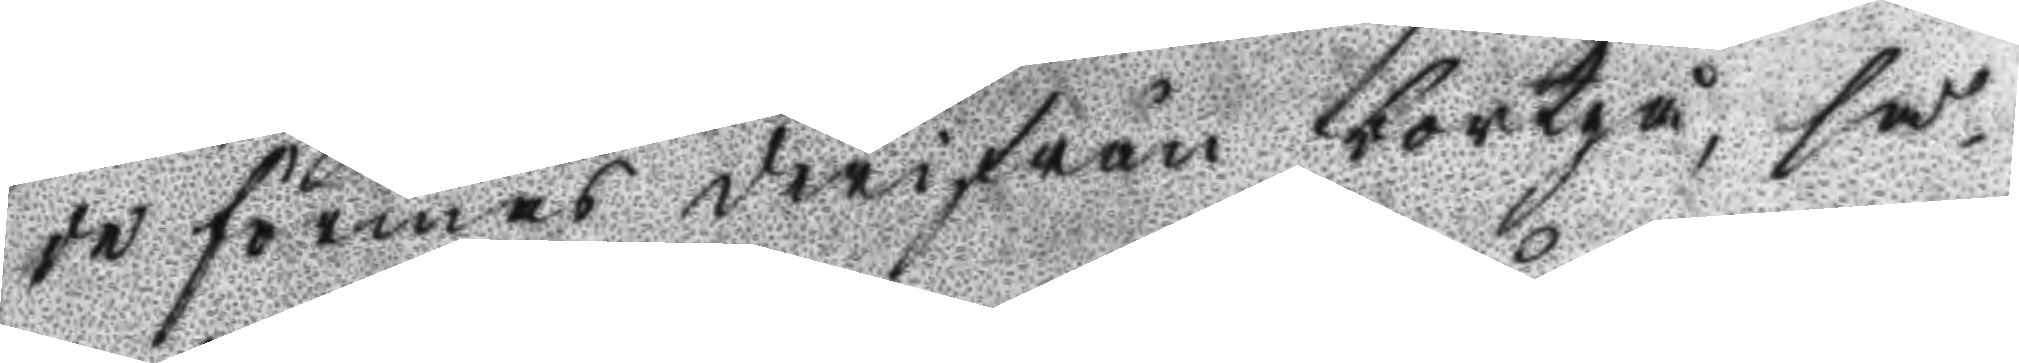de förmås derifrån bortgå, så¬
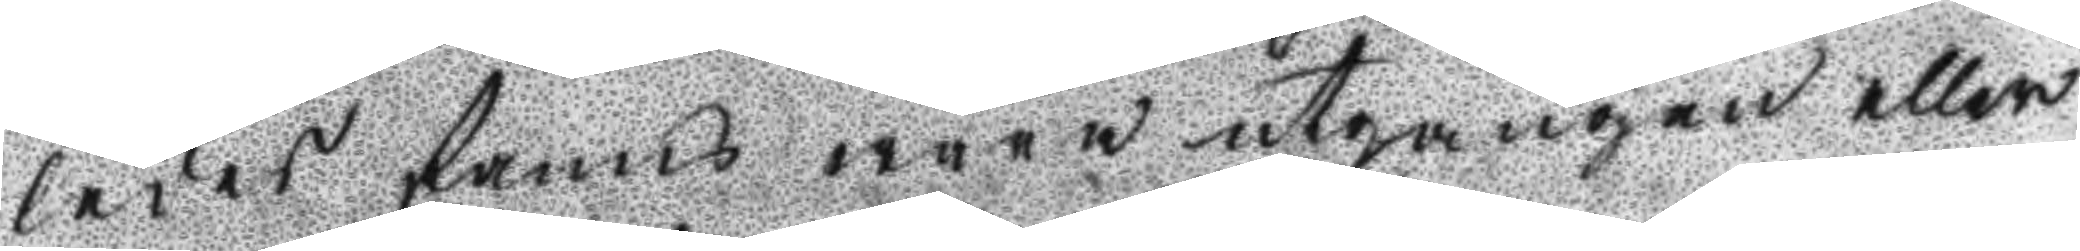ledes fanns wara utgången eller
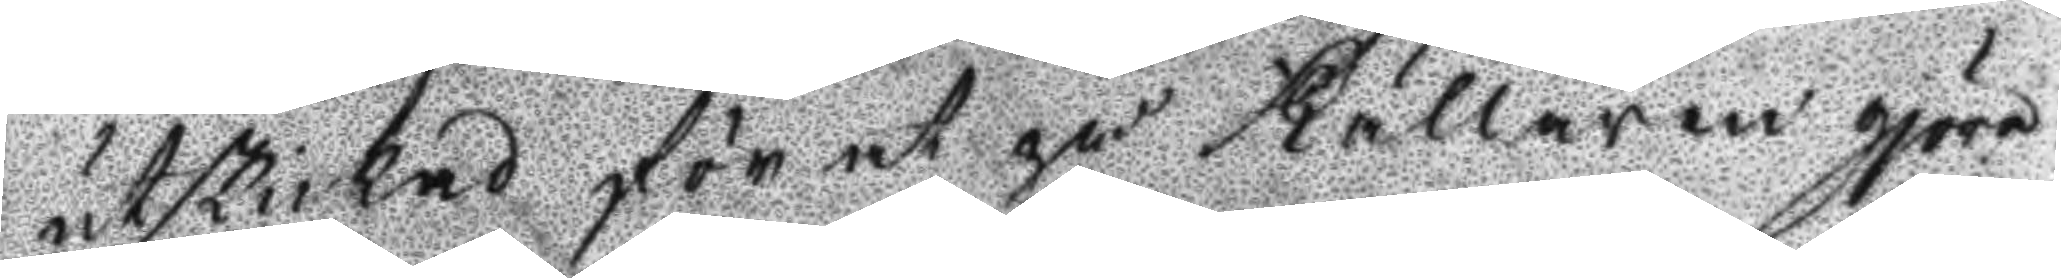utskickad för at på Källaren gjöra
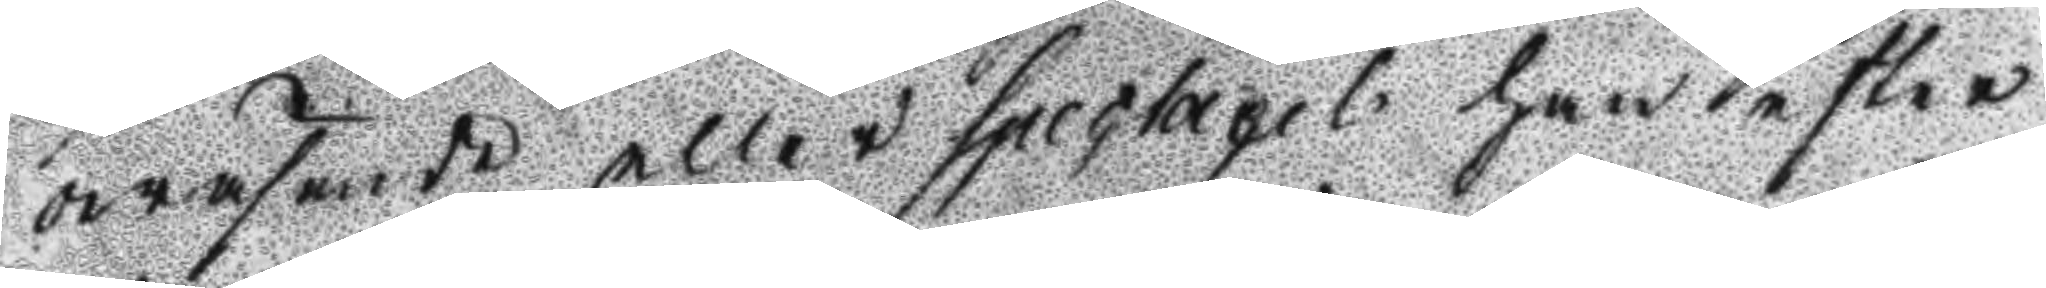owäsende eller spectacel han efter
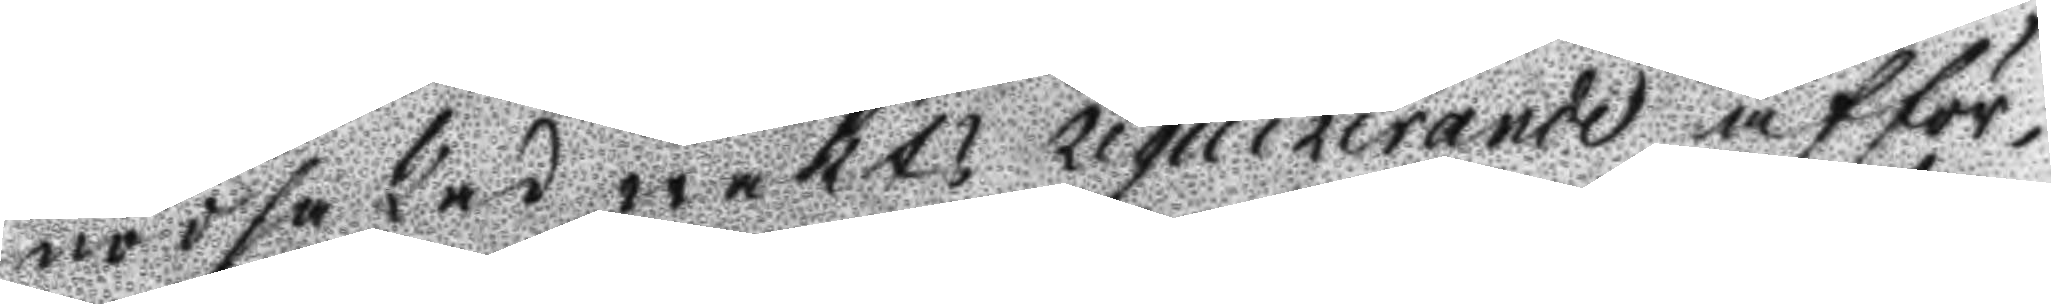nödsakad wakts requirerande afför¬
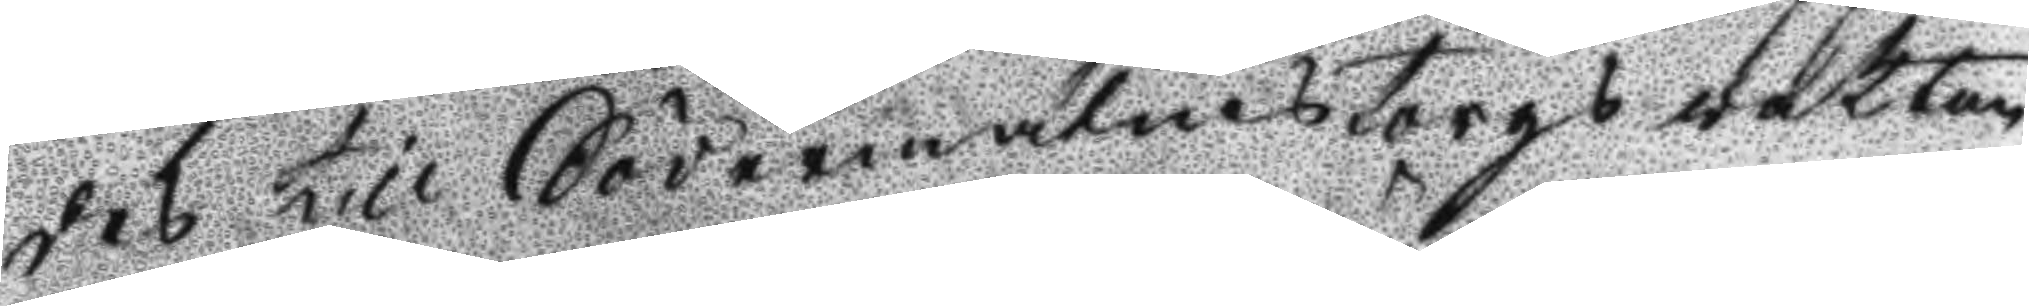des till Södermalmstorgs vakten
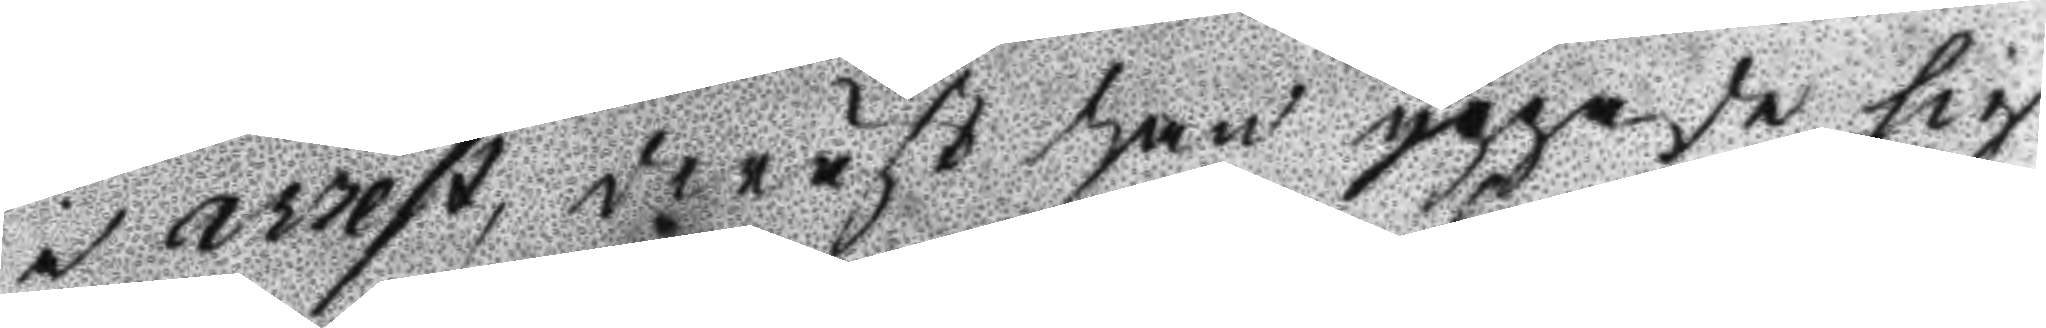i arrest, deräst han yppade sig
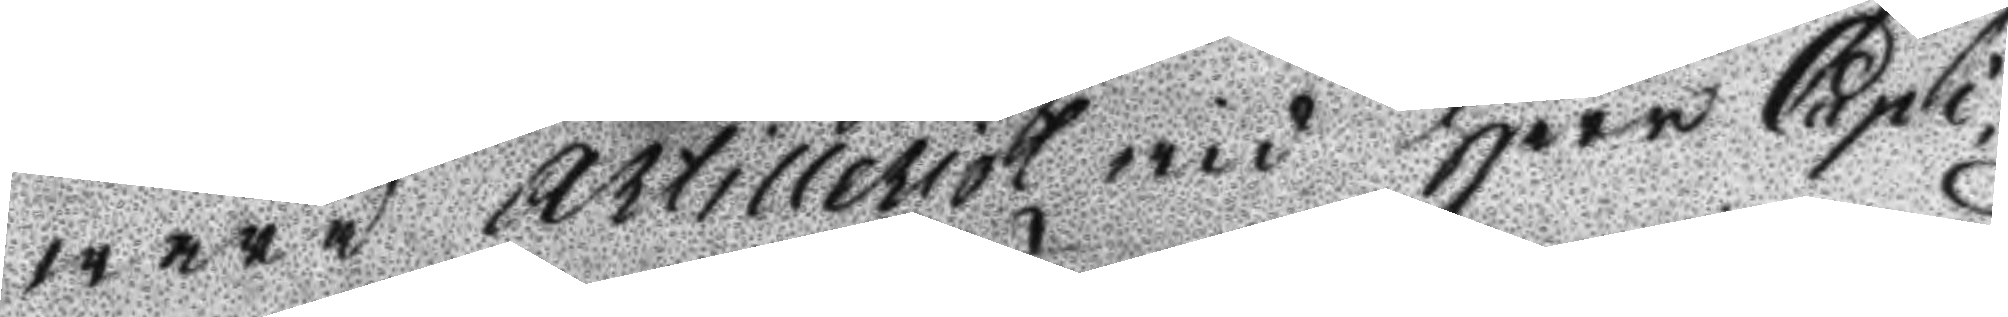wara Artillerist wid Herr Capi¬
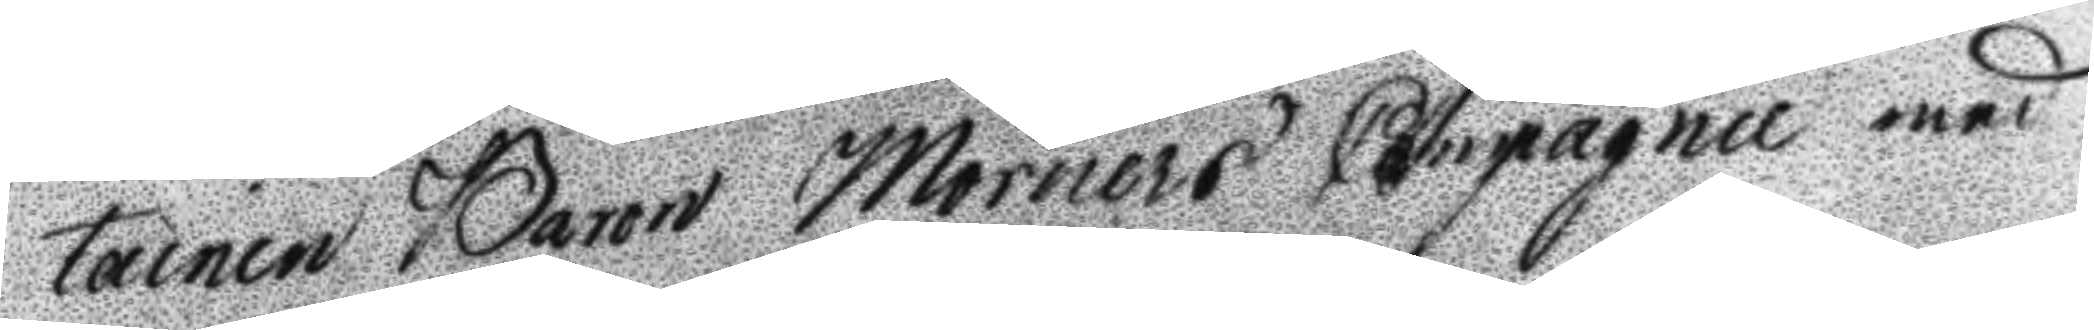tainen baron Mörners Compagnie med
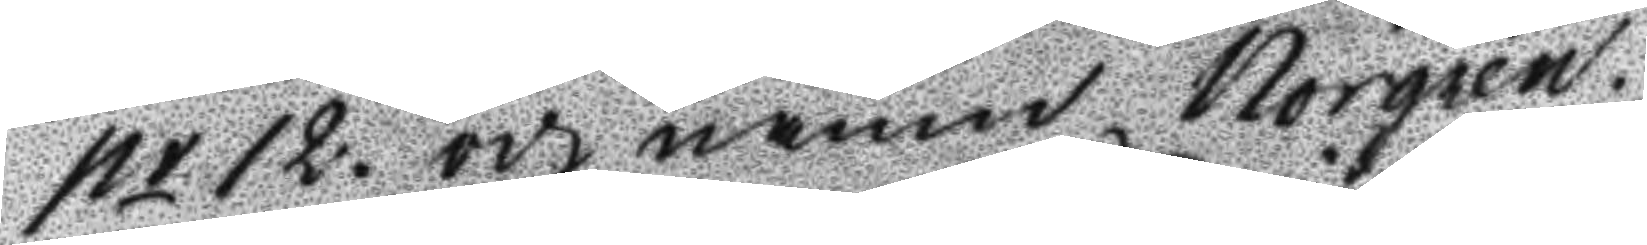nr 12. och namn Norgren.
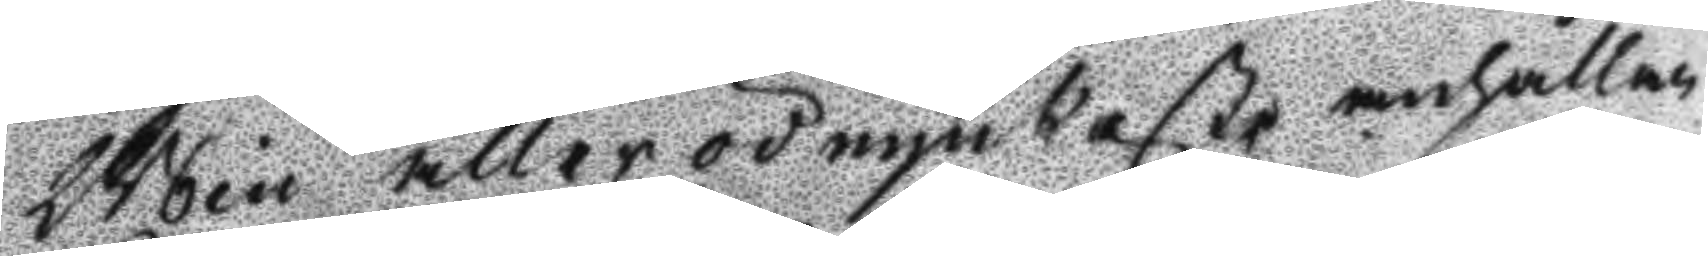Min aller ödmjukaste anhållan
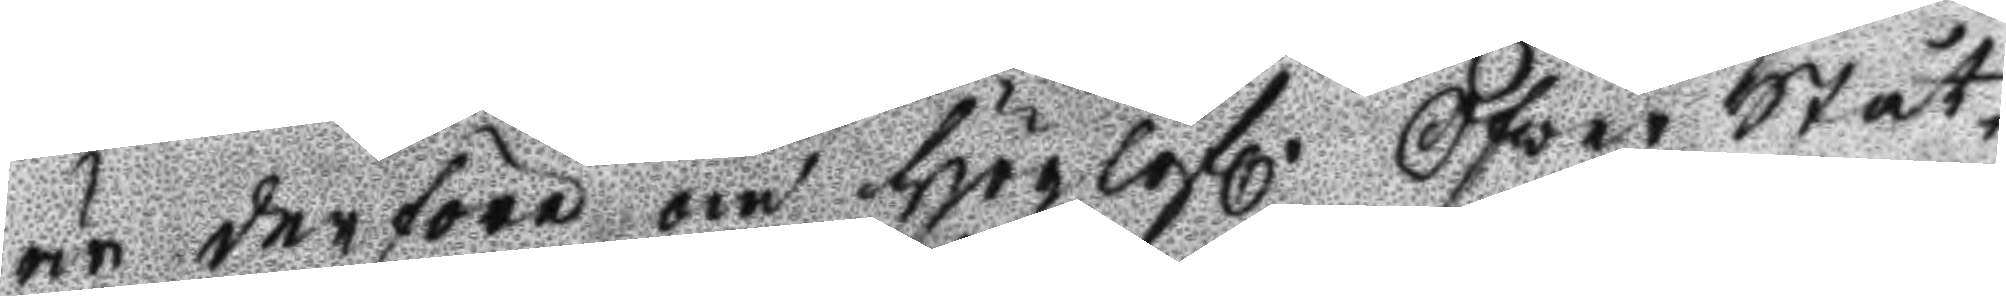är derföre om Höglofl. Öfwer Ståt¬
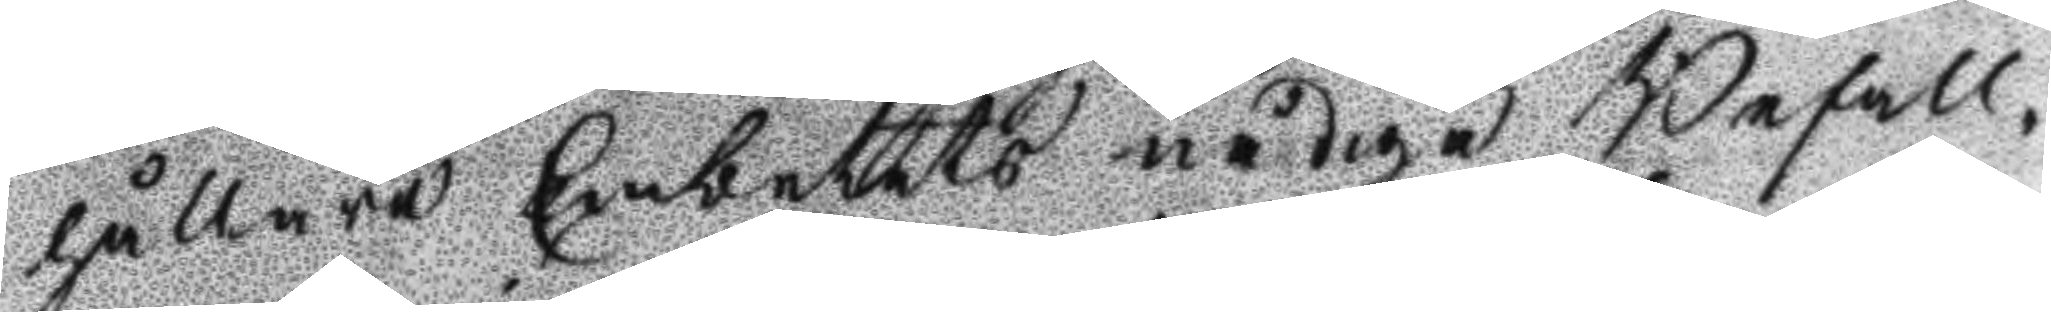hållare Embetets nådiga Befall¬
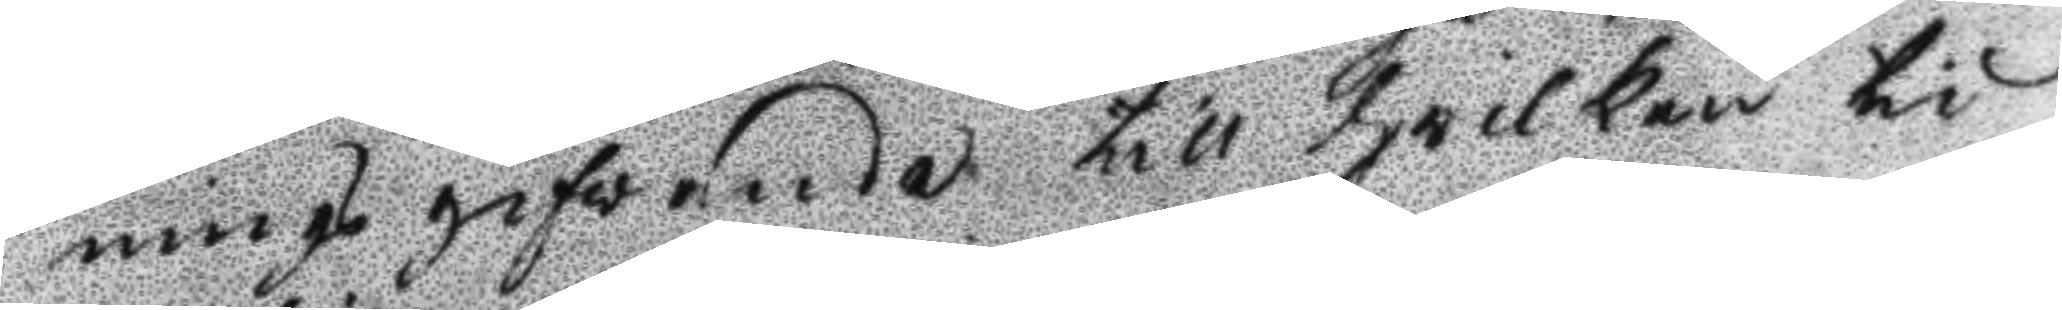nings gifvande till hwilken tid
